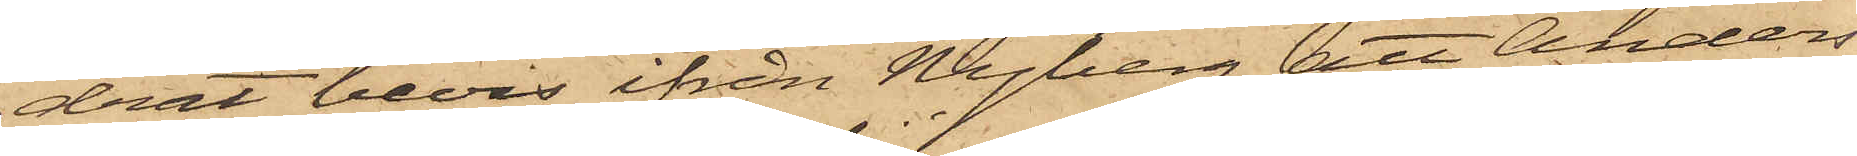drat bevis ifrån Nyberg, att Anders¬
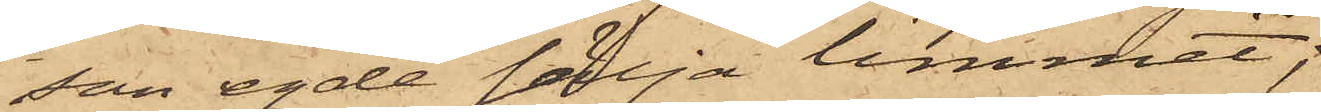son egde sälja limmet;
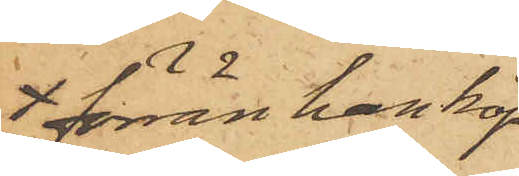förrän han köp¬
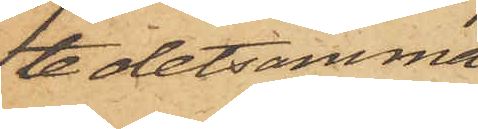te detsamma
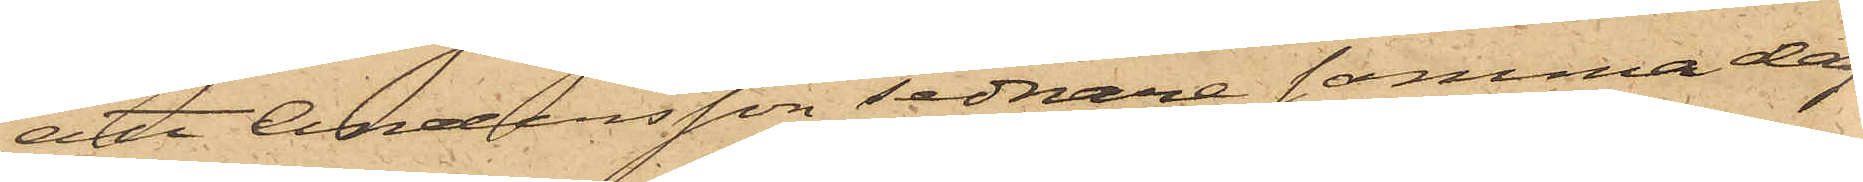att Andersson sednare samma dag
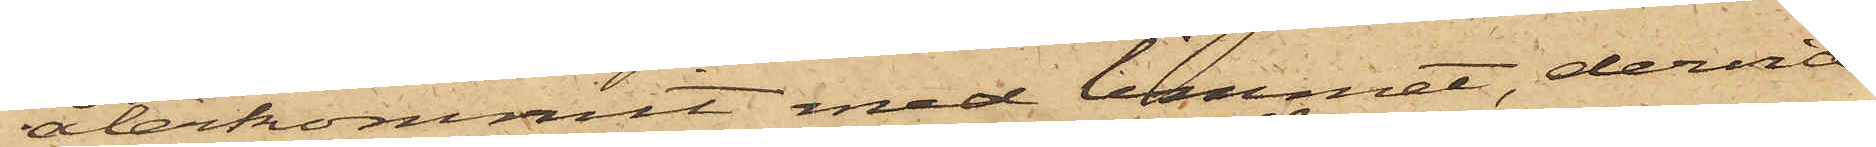återkommit med limmet, dervid
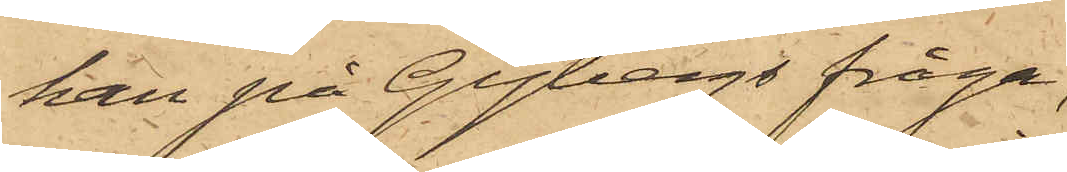han på Gybergs fråga,
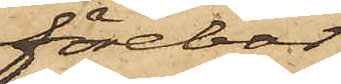förebar
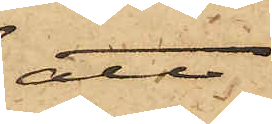att
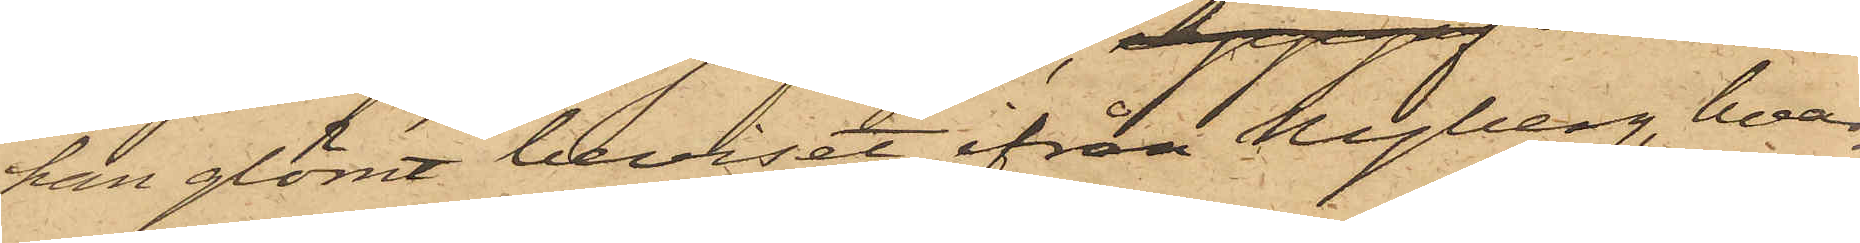han glömt beviset ifrån Nyberg, hvar¬
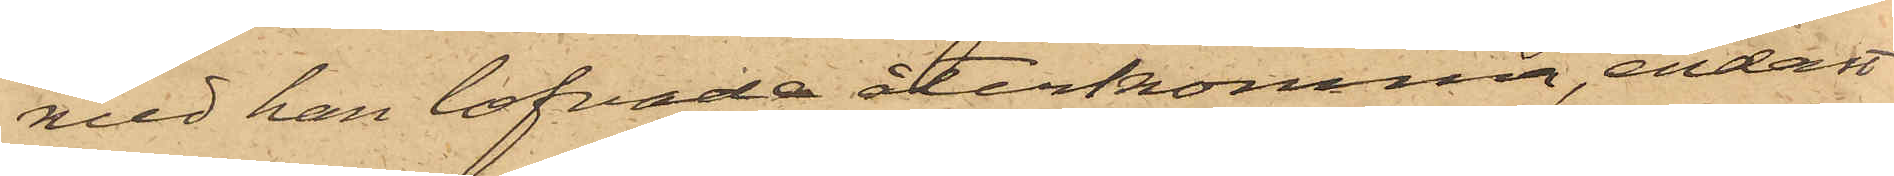med han lofvade återkomma, endast
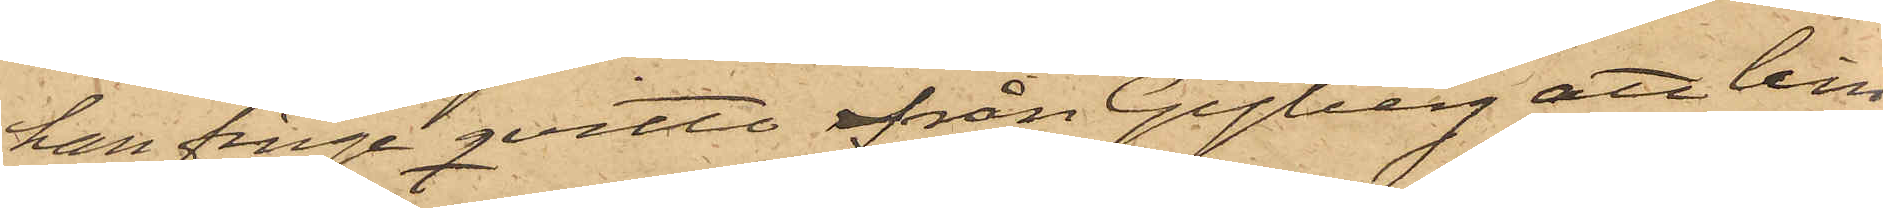han finge qvitto ifrån Gyberg att lim¬
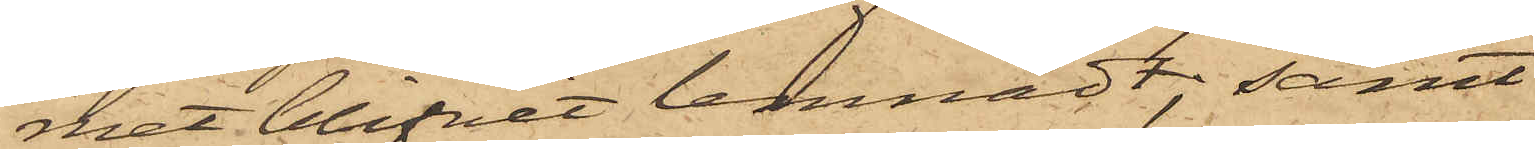met blifvit lemnadt; samt
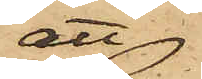att
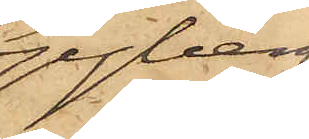Gyberg
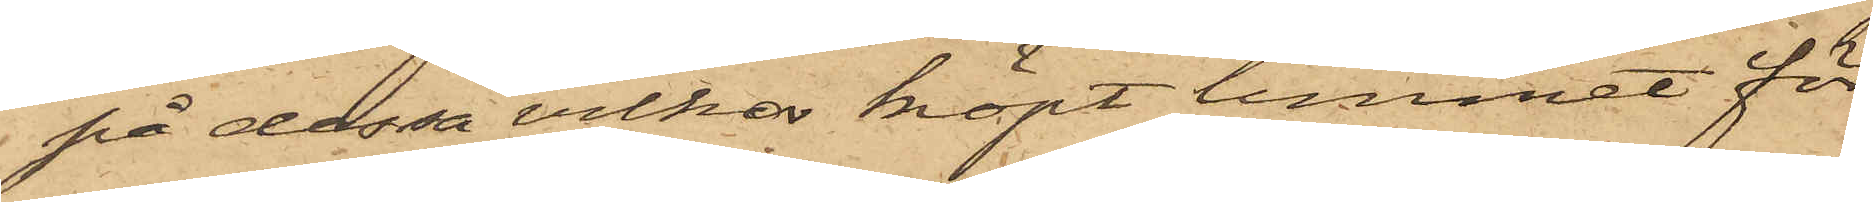på dessa villkor köpt limmet för
